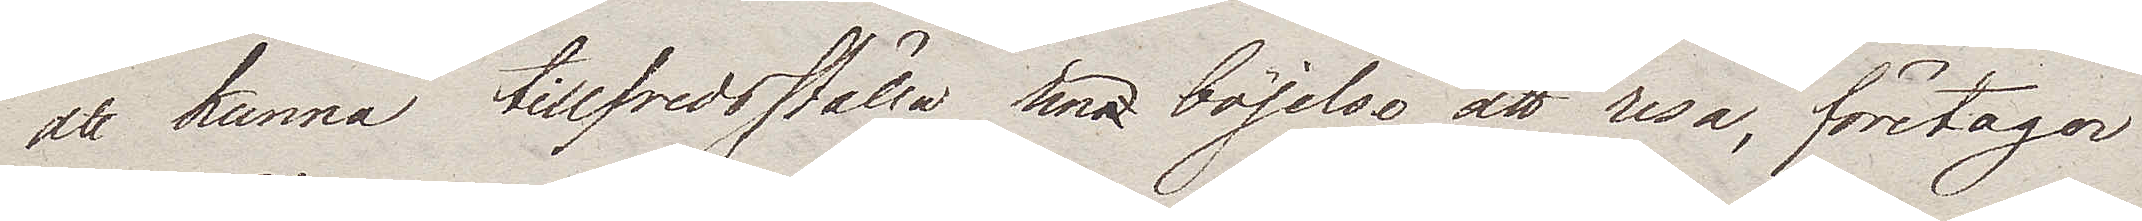att kunna tillfredsställa sina böjelse att resa, företager
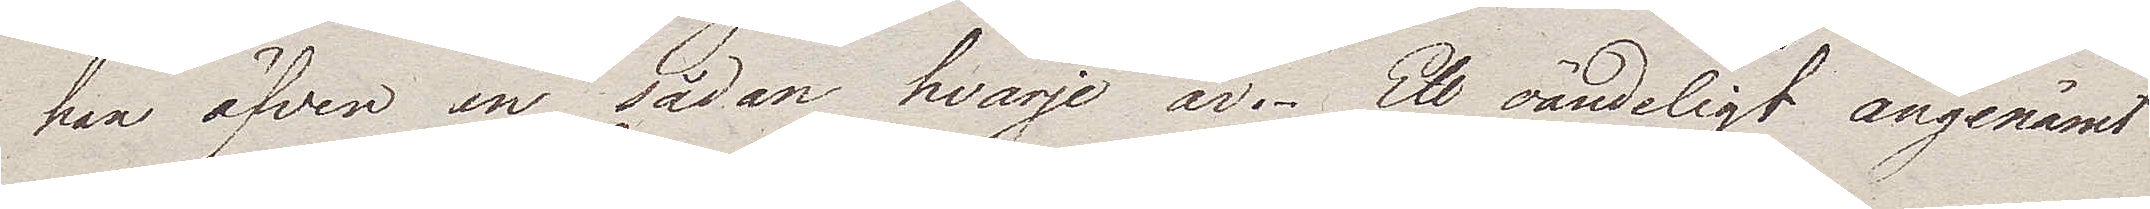han äfven en sådan hvarje år. Ett oändeligt angenämt
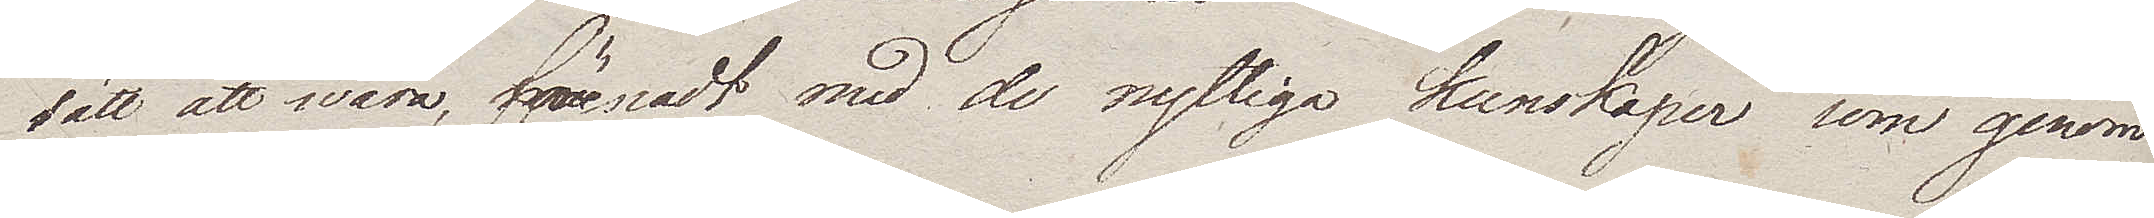sätt att wara, förenadt med de nyttiga kunskaper som genom
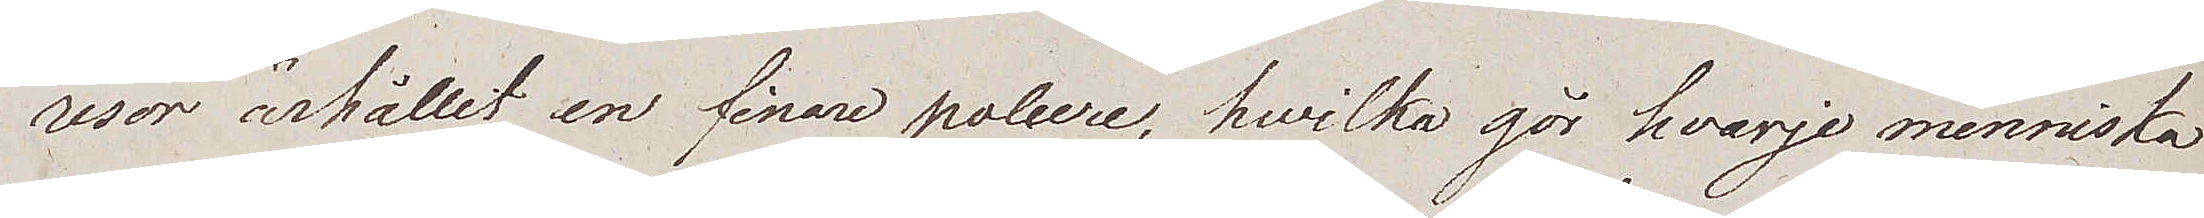resor ärhållit en finare poliere, hwilka gör hvarje menniska
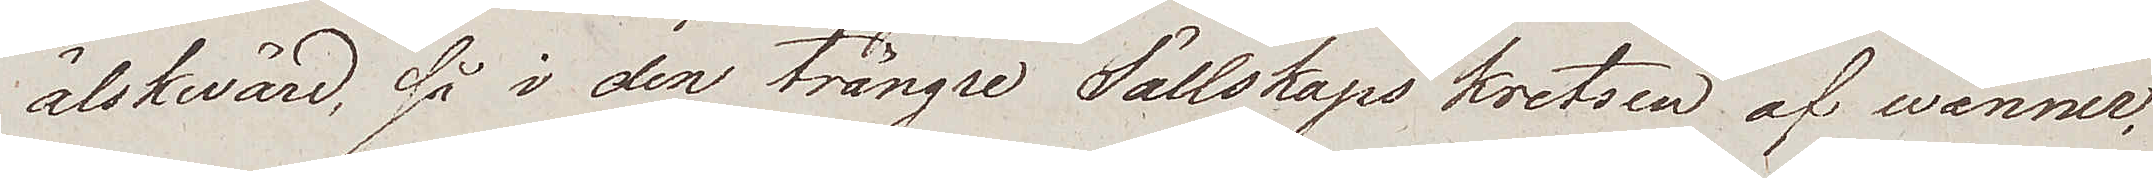älskvärd, så i den trängre Sällskaps kretsen af wänner,
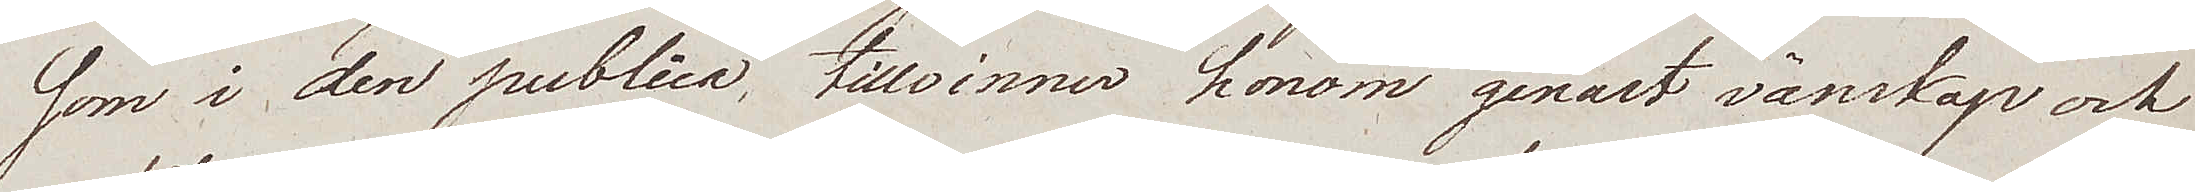som i den publica, tillvinner honom genast vänskap och
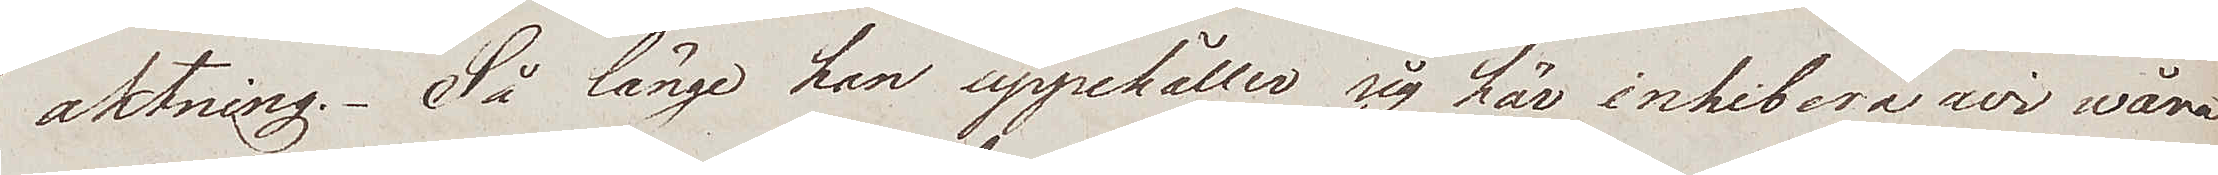aktning. Så länge han uppehåller sig här inhibera wi våra
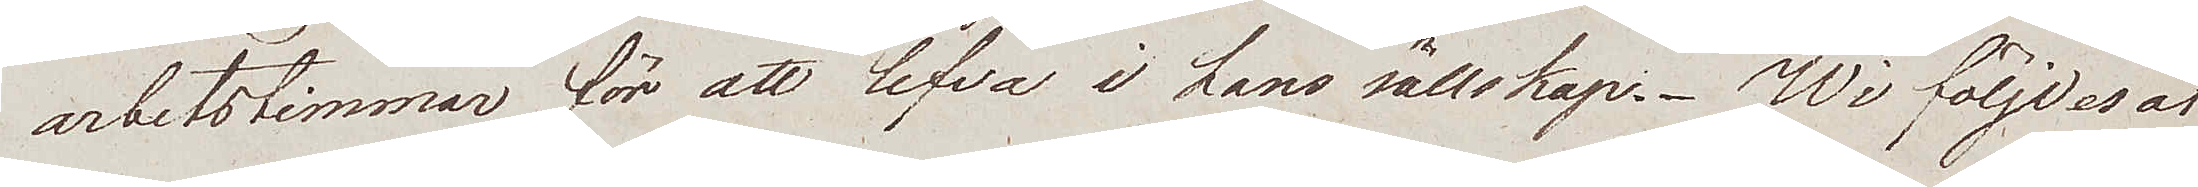arbetstimmar för att lefva i hans sällskap. Wi följdes åt
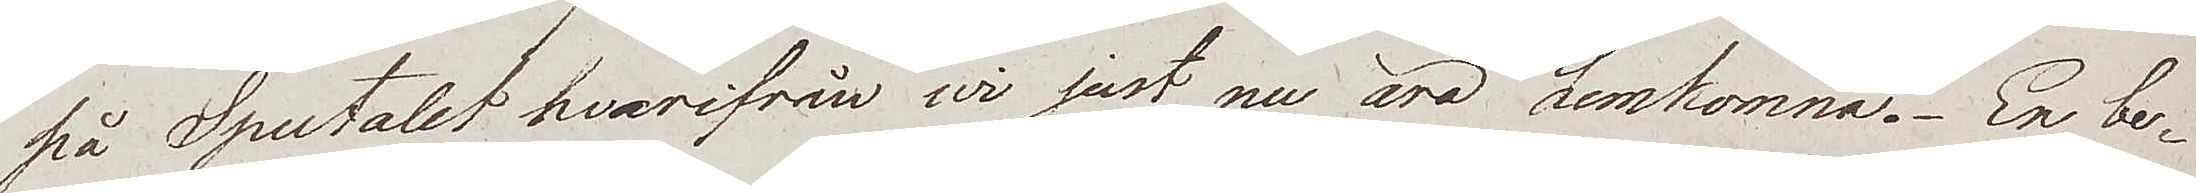på Spectalet hvarifrån wi just nu äro hemkomna. En be¬
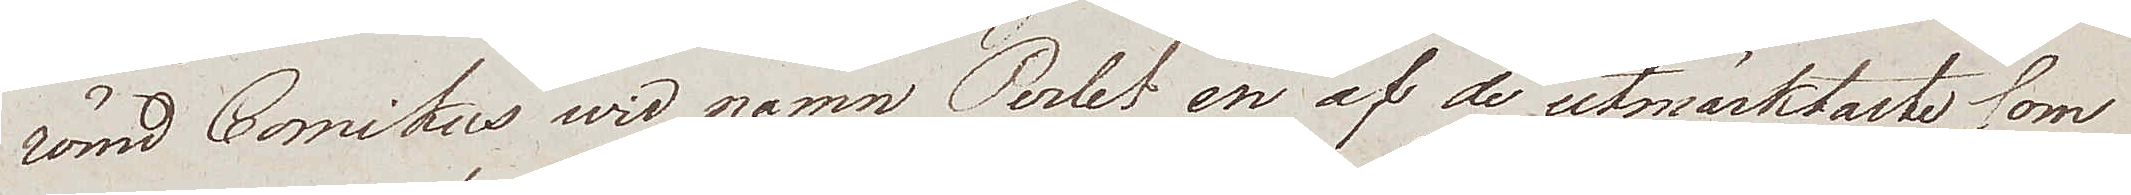römd Comikus wid namn Perlet en af de utmärktaste, som
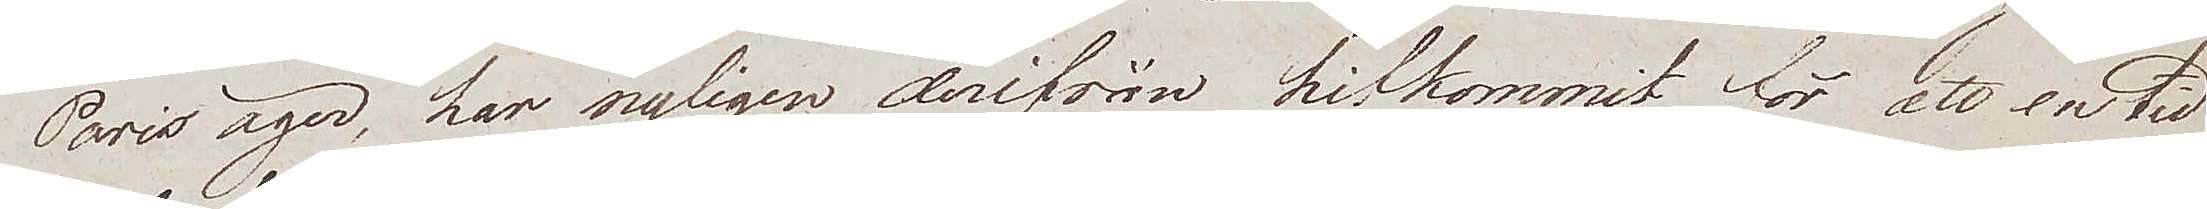Paris äger, har nyligen derifrån hitkommit för att en tid
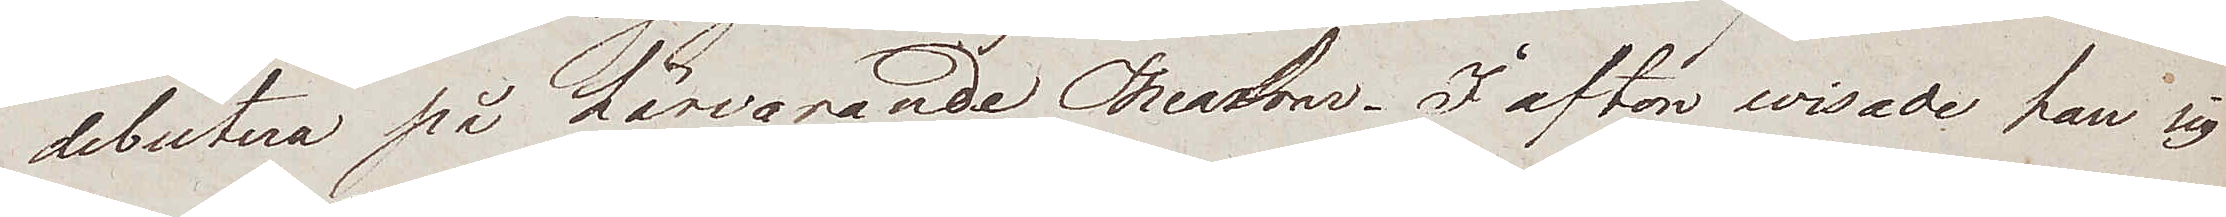debutera på härvarande Theatrar. I afton wisade han sig
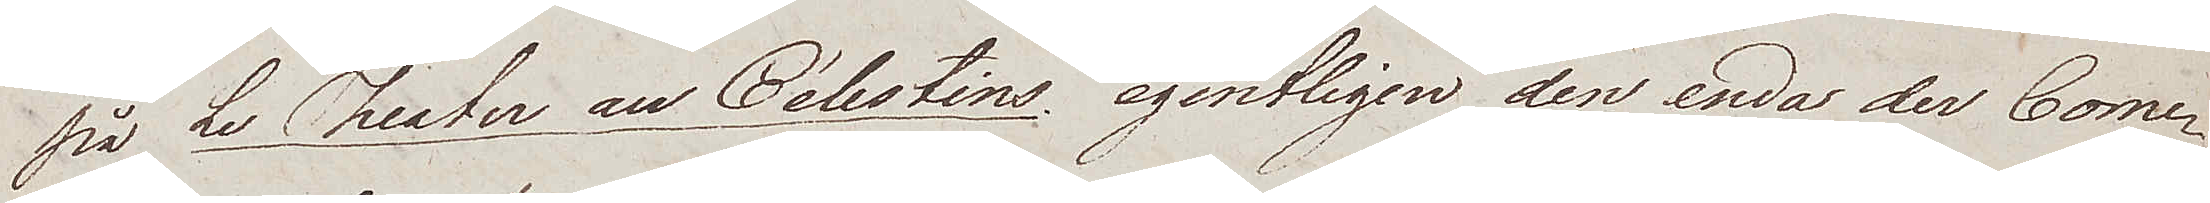på Le Theater au Célestins, egentligen den enda der Come¬
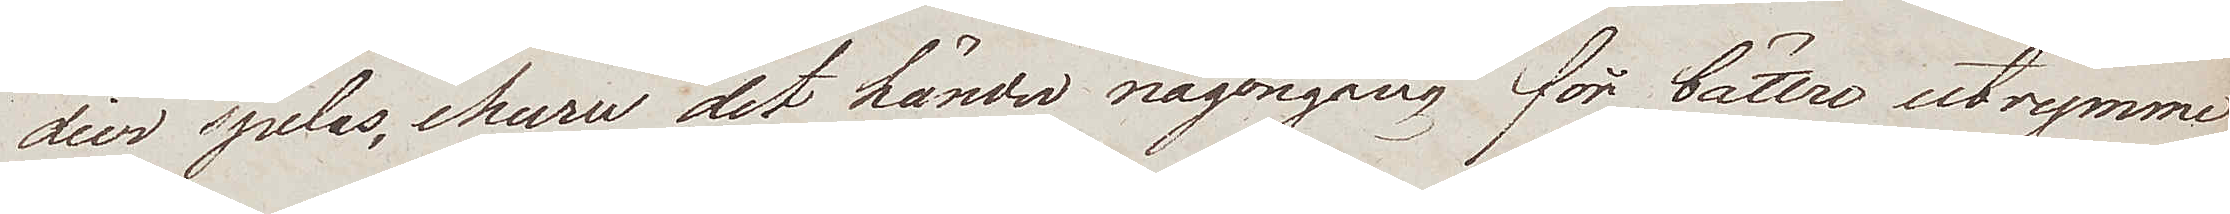dier spelas, ehuru det händer någongång för bättre utrymme
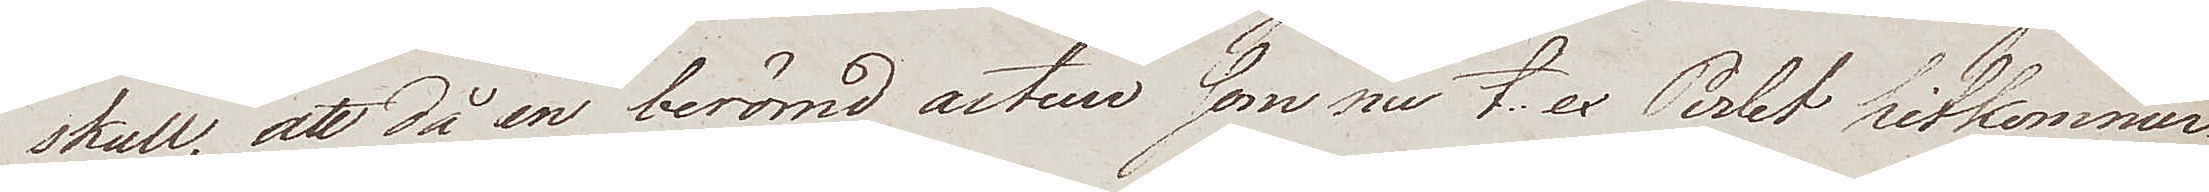skull, att då en berömd arteur, som nu t. ex Perlet hitkommer
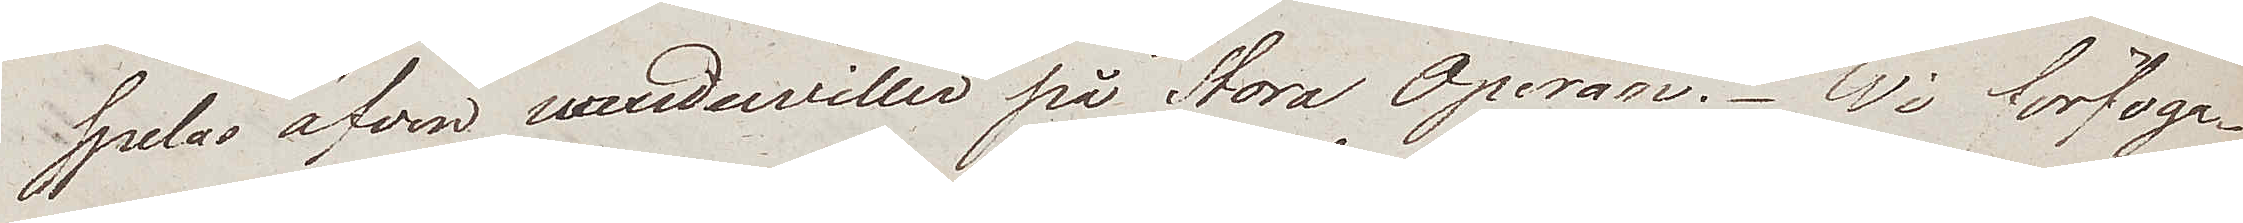spelas äfven waudewiller på Stora Operan. Wi förfoga¬
